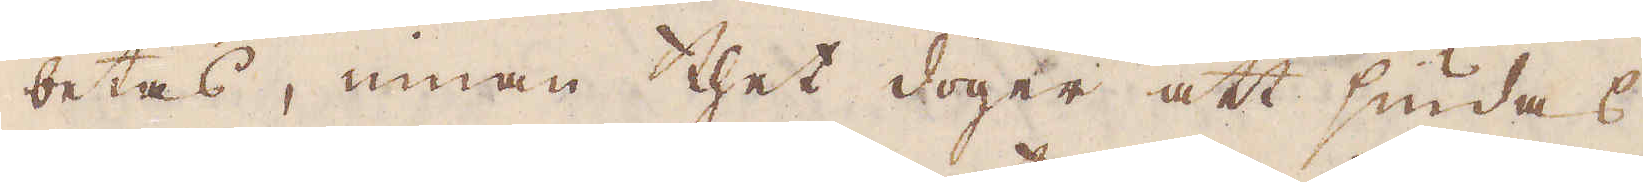betas, innan thet doger att siudas
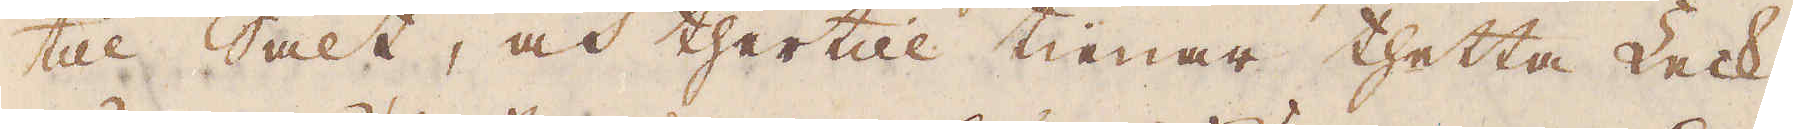till Salt, och thertill tienar thetta Leck-
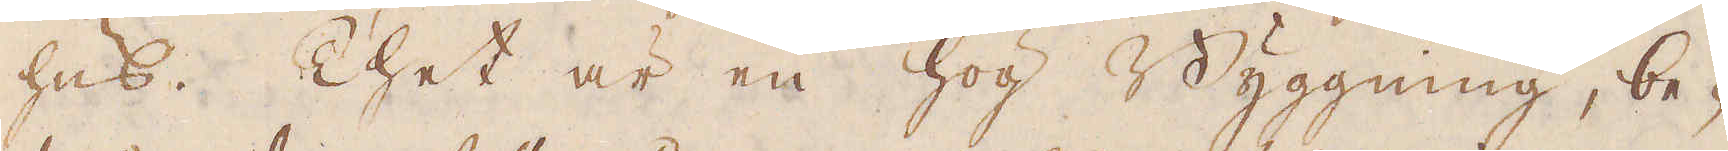hus. Thet är en hög Byggning, be-
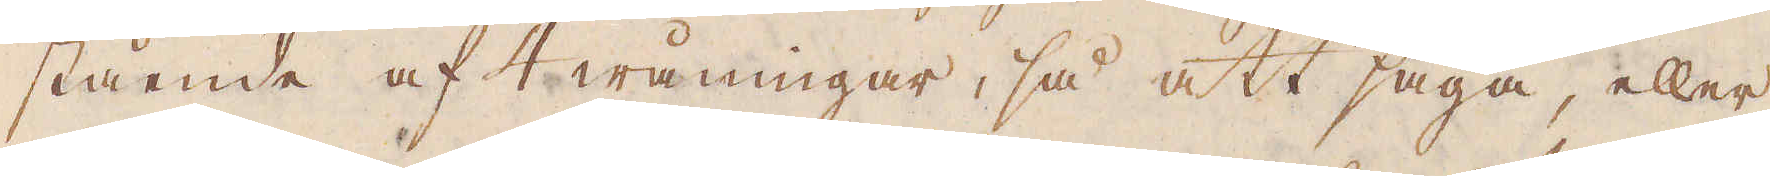stående af 4 wåningar, så att säga, eller
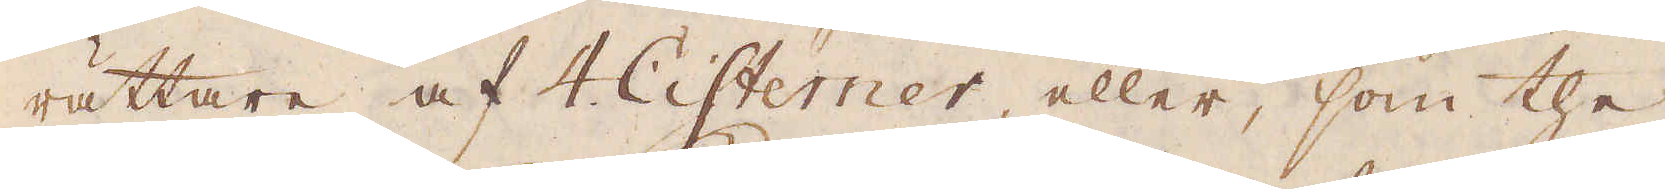rättare af 4 Cisterner, eller, som the
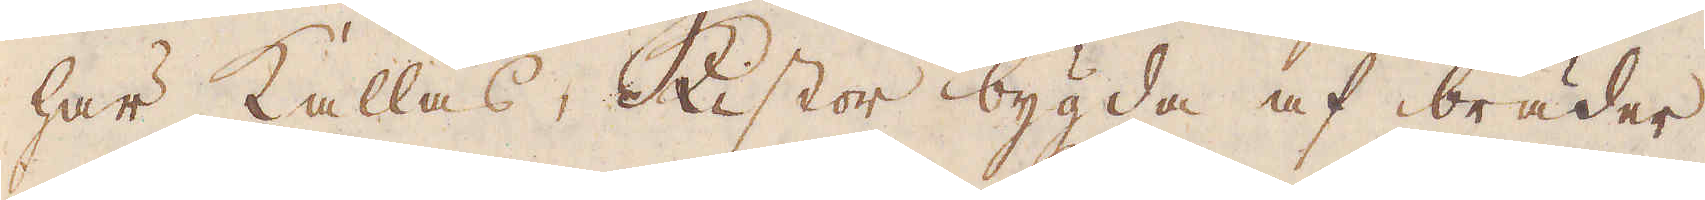här kallas, Kistor bygda af bräder.
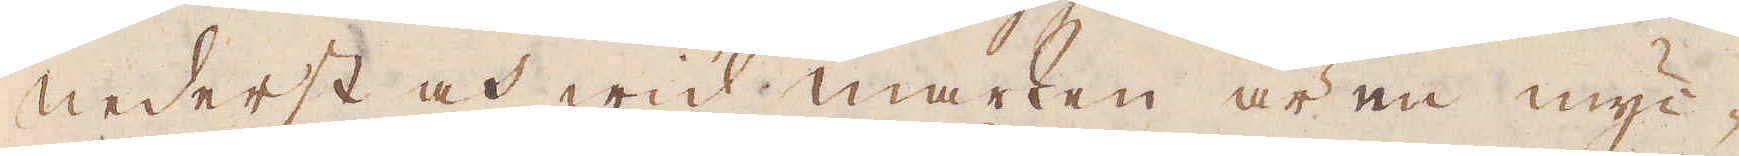Nederst och wid marken är en myc-
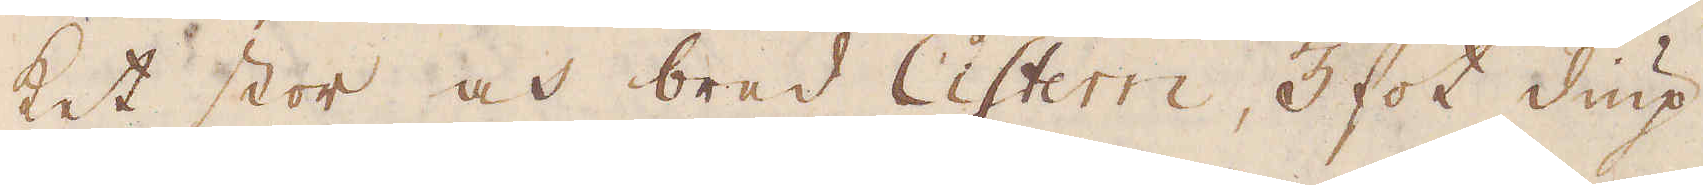ket stor och bred Cistern, 3 fot diup
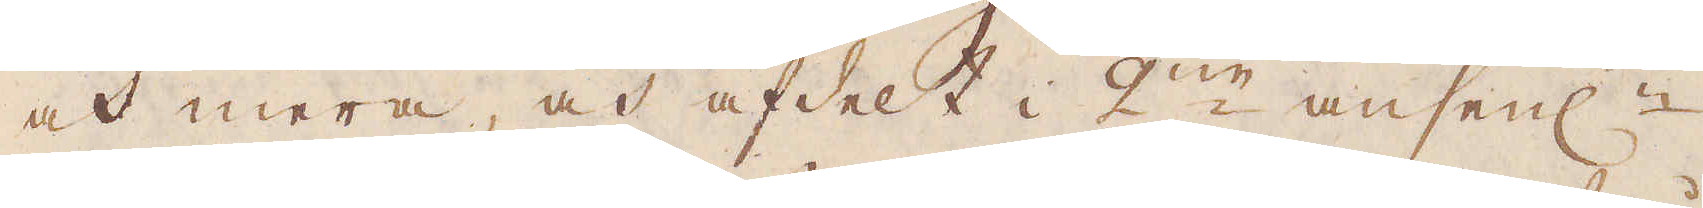och mera, och afdelt i 2:ne ansenl:n
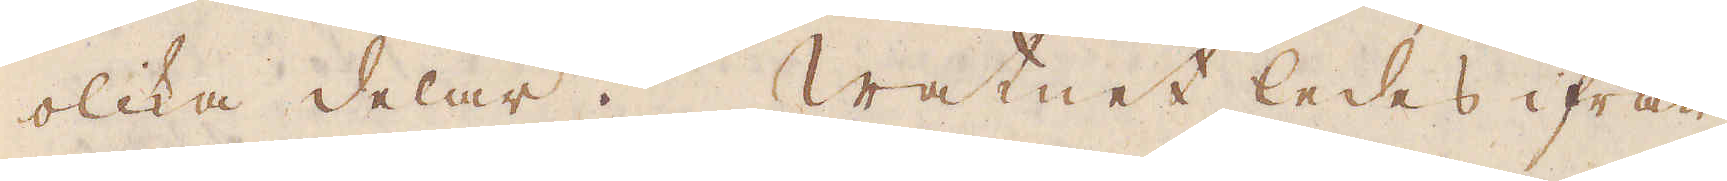olika delar. Watnet ledes ifrån
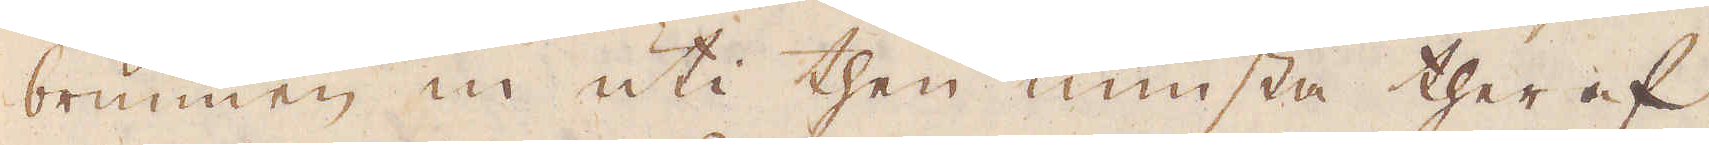brunnen in uti then minsta ther af,
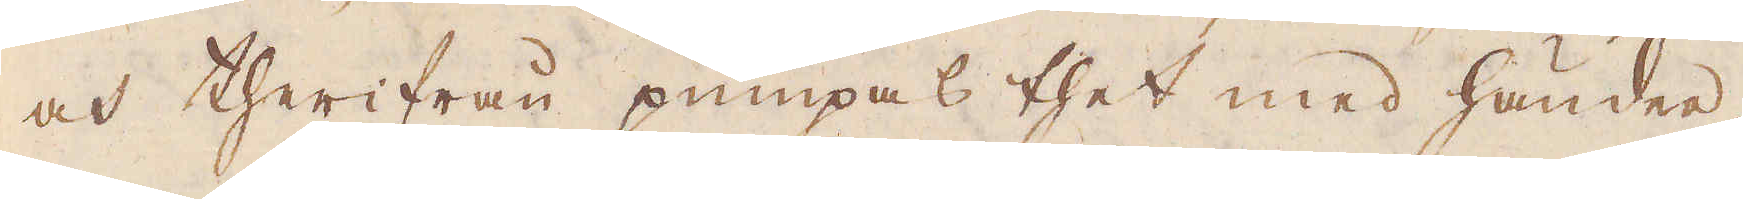och therifrån pumpas thet med händer,
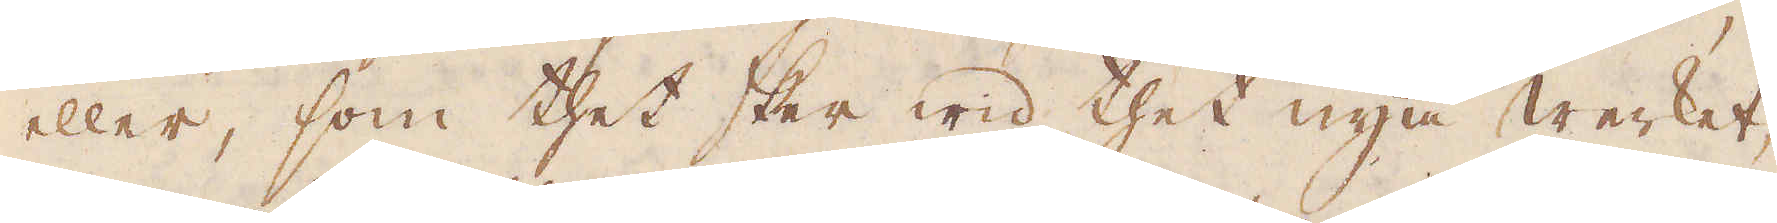eller, som thet sker wid thet nya Werket,
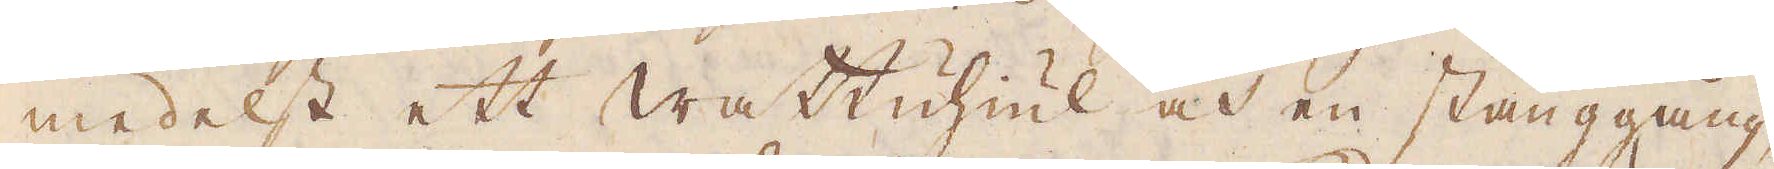medelst ett wattuhiul och en stänggång,
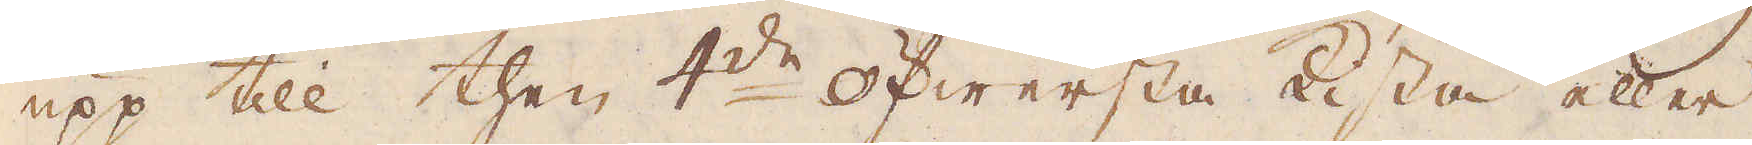upp till then 4:de öfwersta kista eller
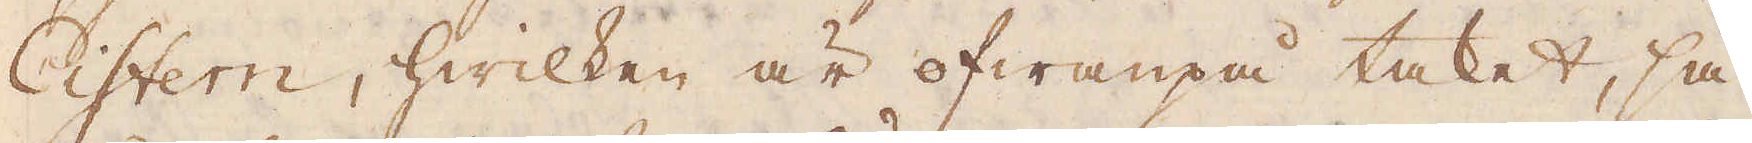Cistern, hwilken är ofwanpå taket, så
